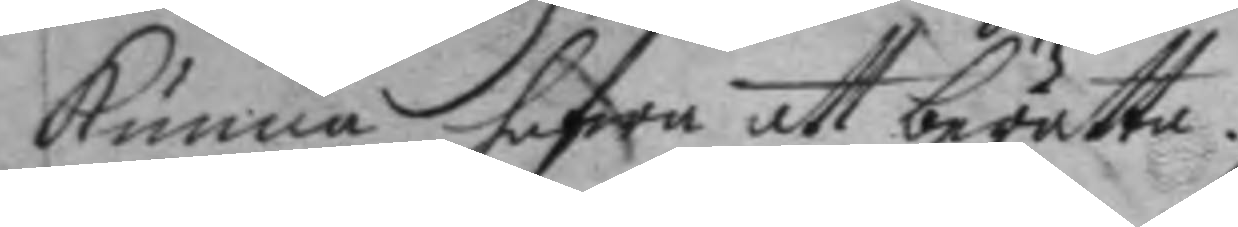kunna hafwa att berätta.
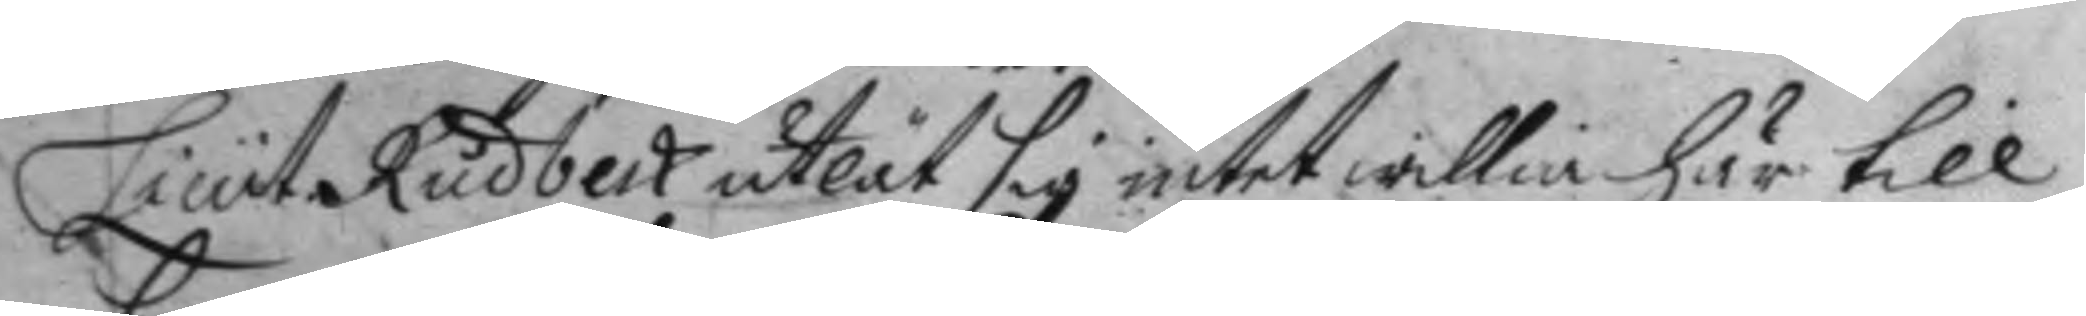Lieut. Rudbeck utlät sig intet willia här till
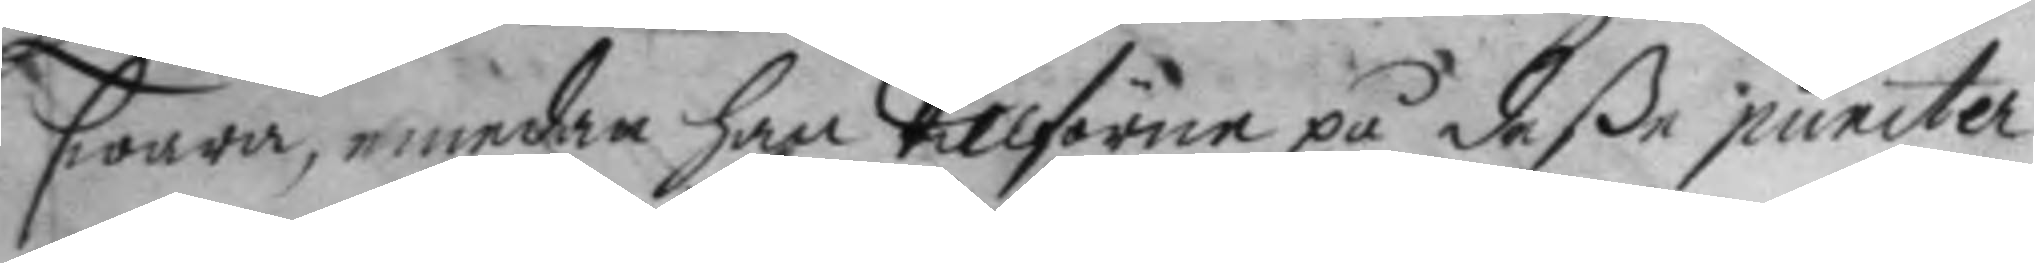swara, emedan han tillförne på deße puncter
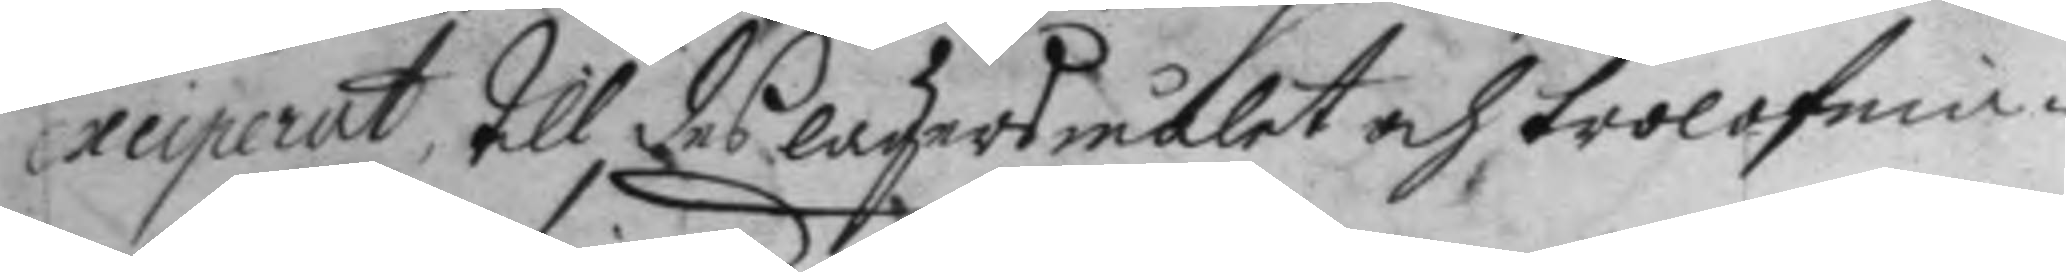exciperat, till des lägersmålet och trolofni¬
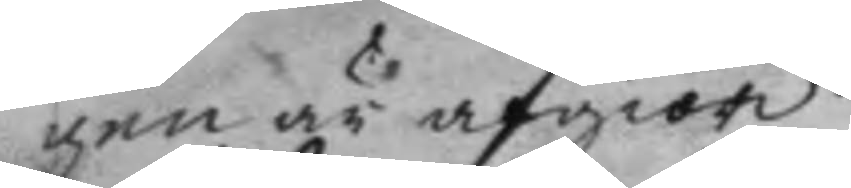gen är afgiord.
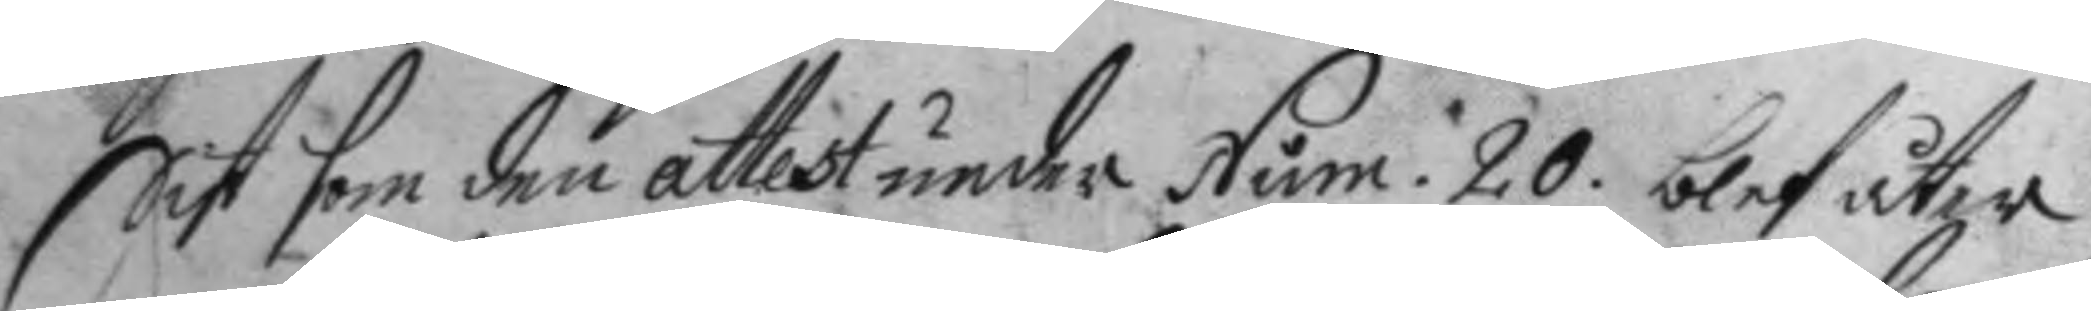Sist som den attest under Num: 20. blef åter 
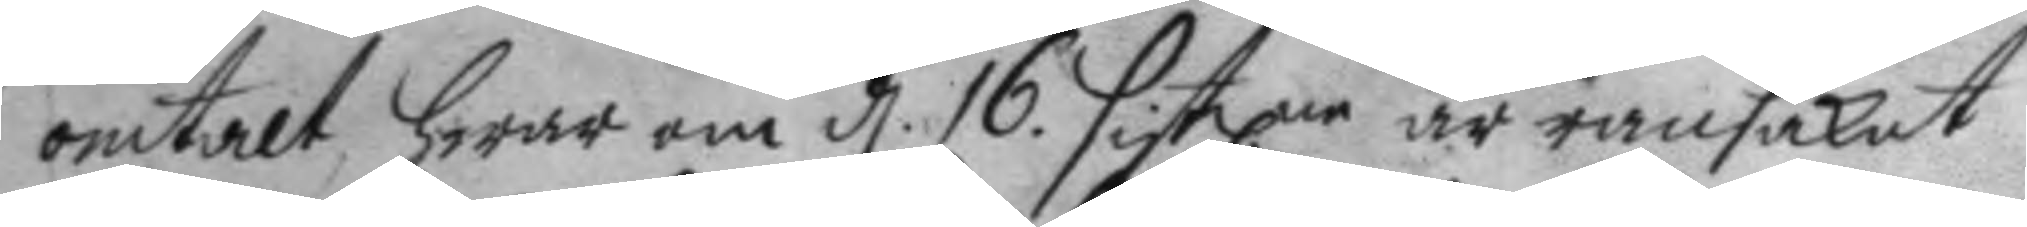omtalt, hwar om d. 16. sistlne är ransakat 
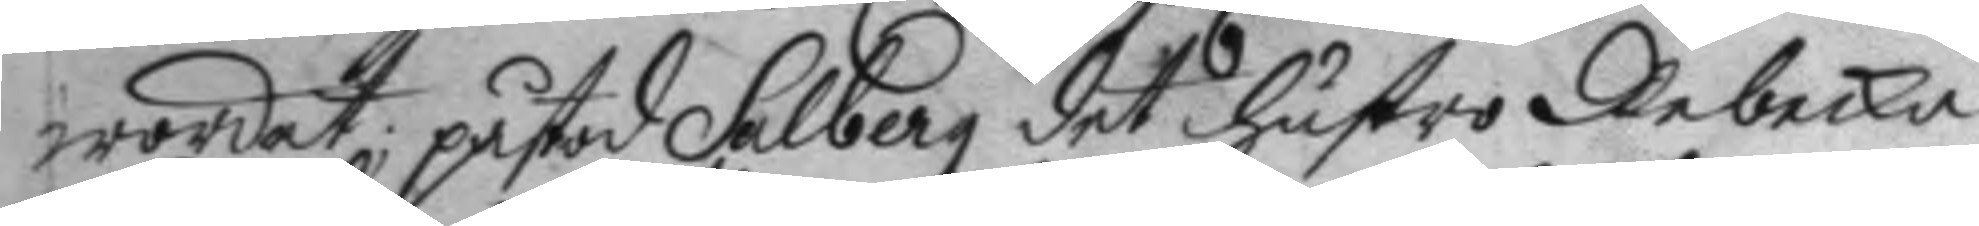wordet, påstod Salberg det hustro Rebecka
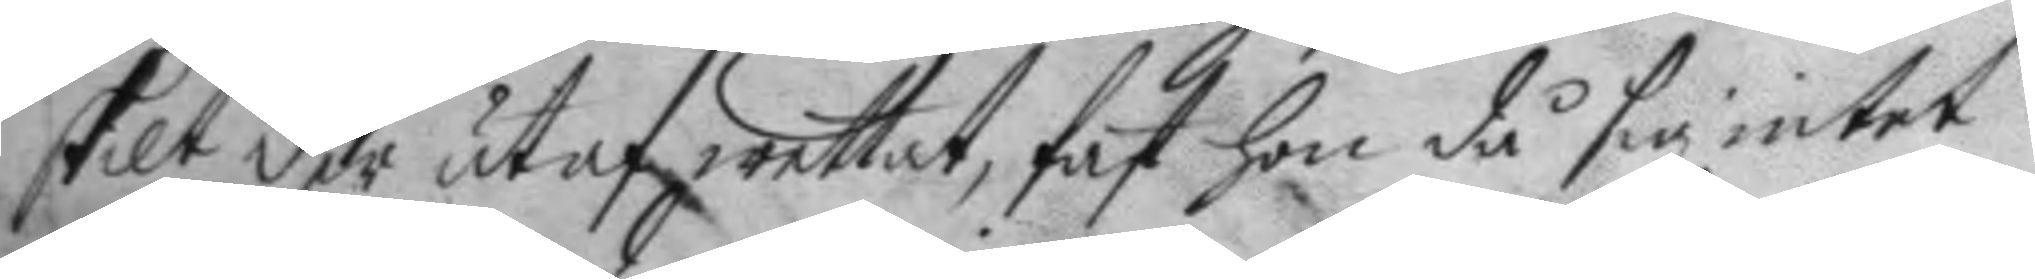skilt der utaf wettat, fast hon då sig intet
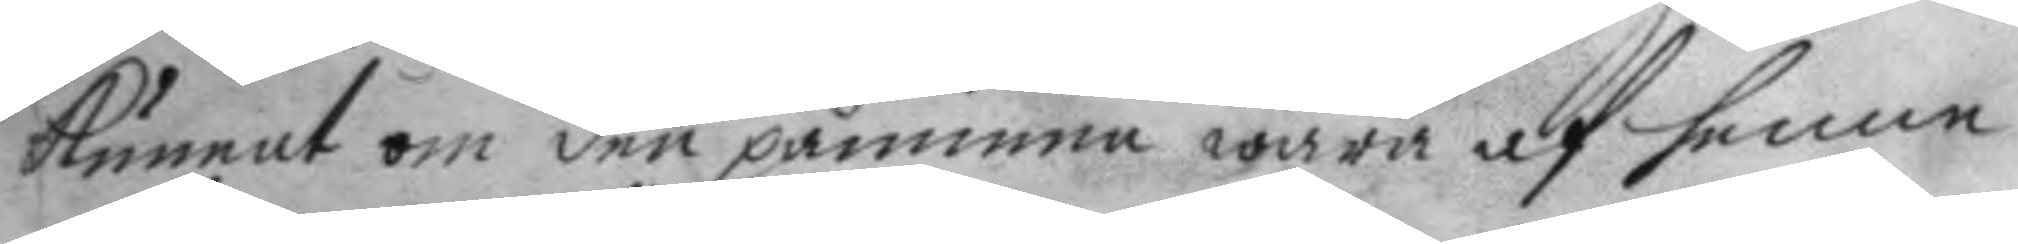kunnat om den påminna wara af henne
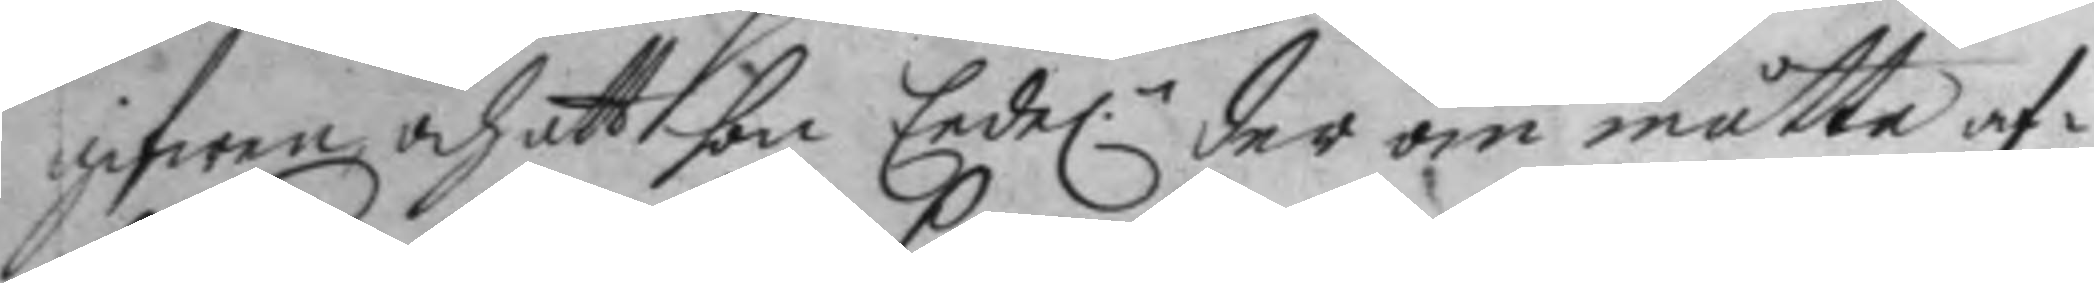gifwen och att hon Eede:n der om måtte af¬ 
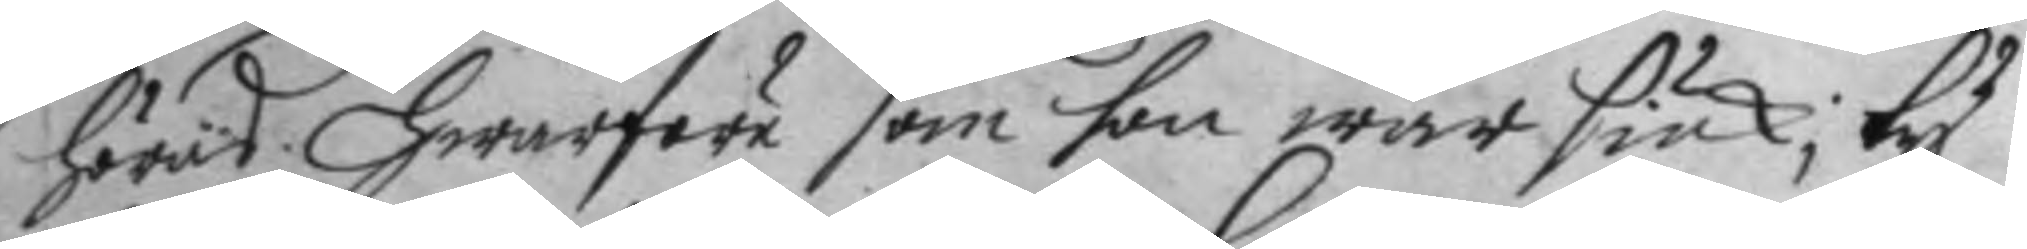höras. Hwarföre som hon war siuk; ty
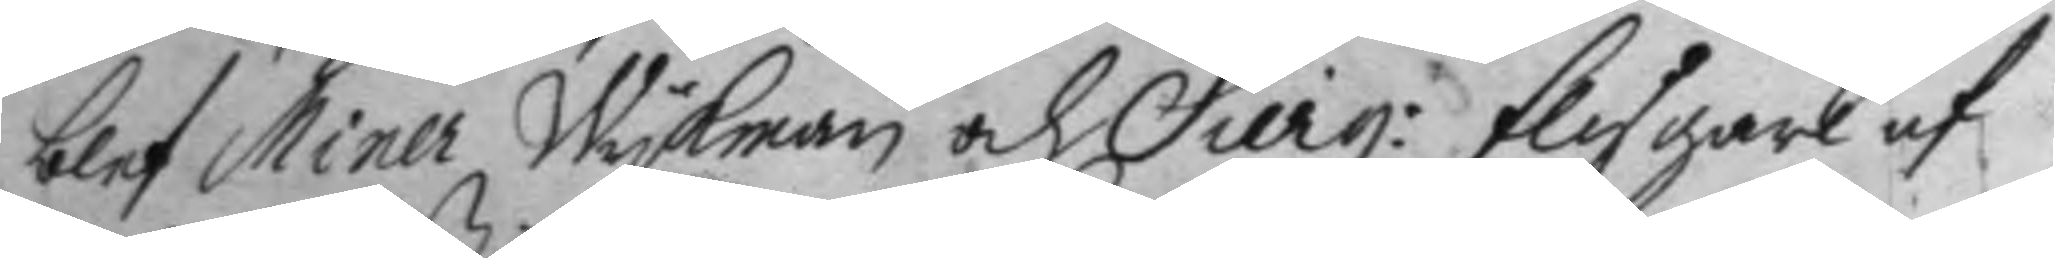blef Miner Wykman och Serg: flygare af 
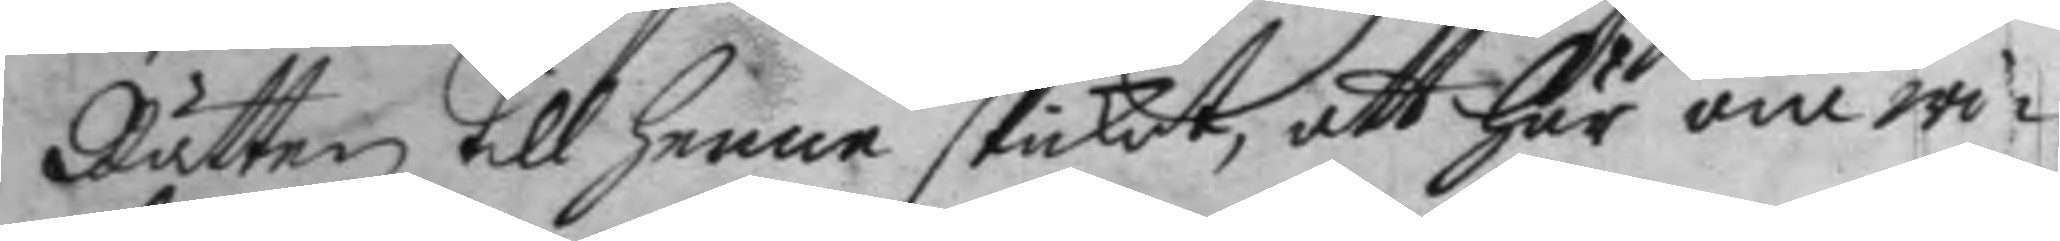Rätten till henne skickat, att här om wi¬
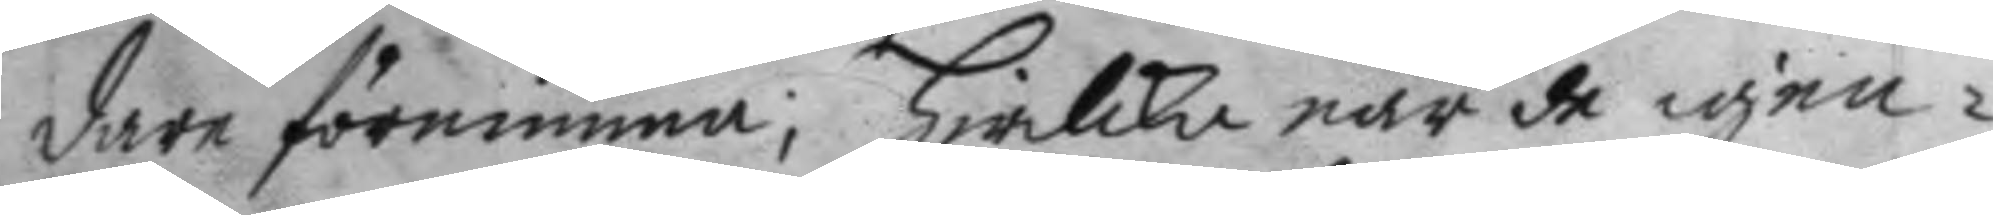dare förnimma; Hwilka när de igen¬
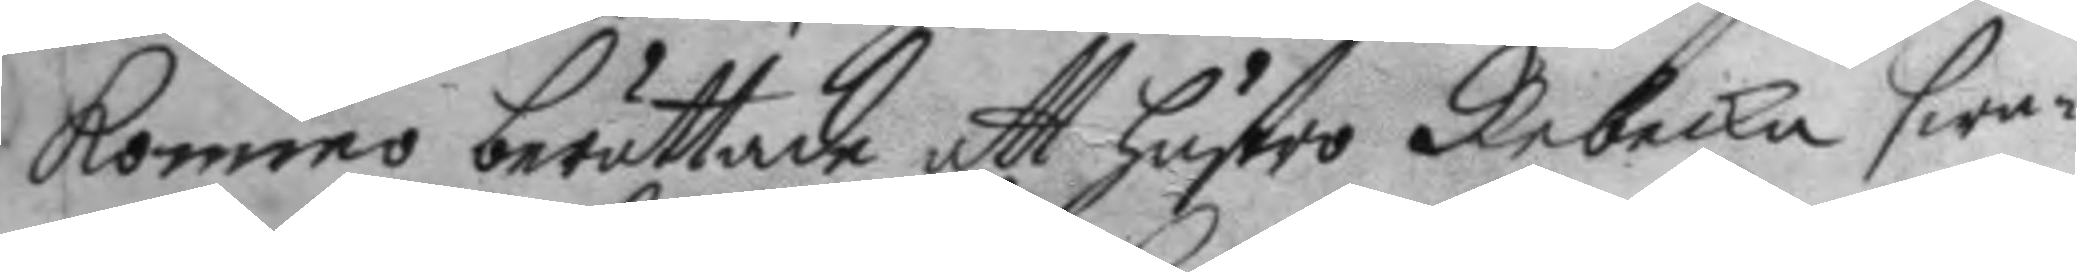kommo berättade att hustro Rebecka swa¬
